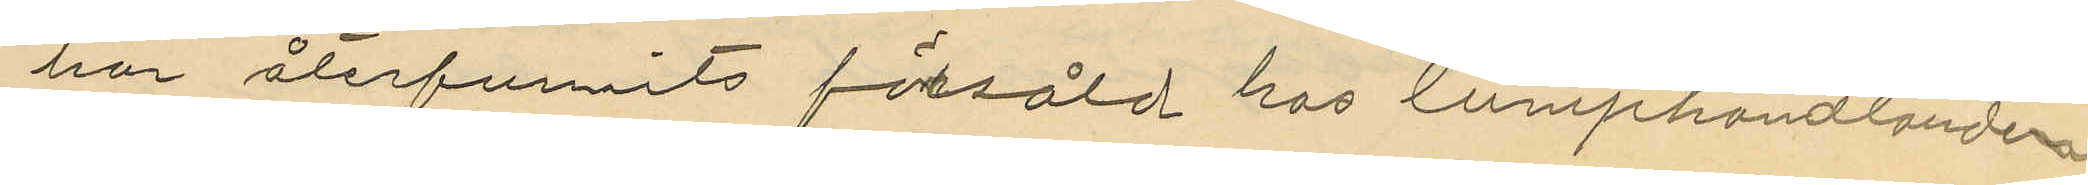har återfunnits försåld hos lumphandlanden
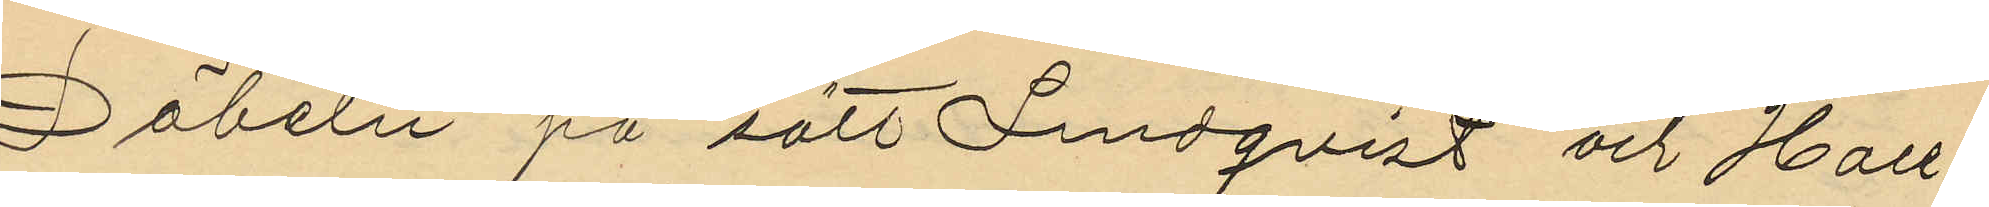Döbeln på sätt Lindqvist och Hall¬
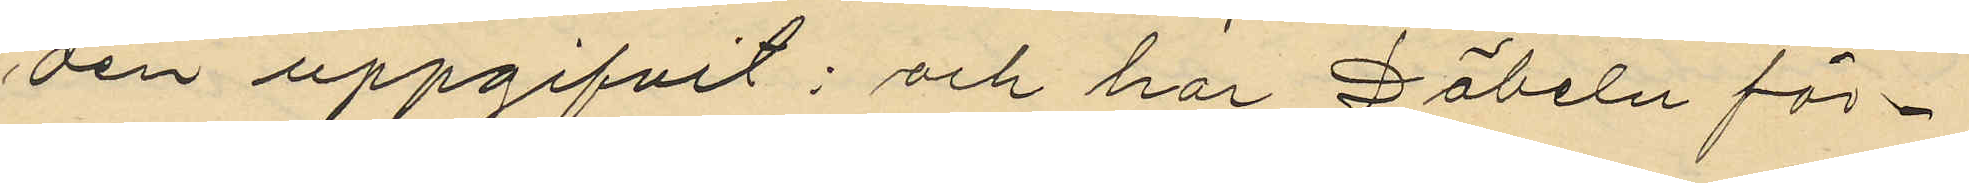den uppgifvit: och har Döbeln för¬
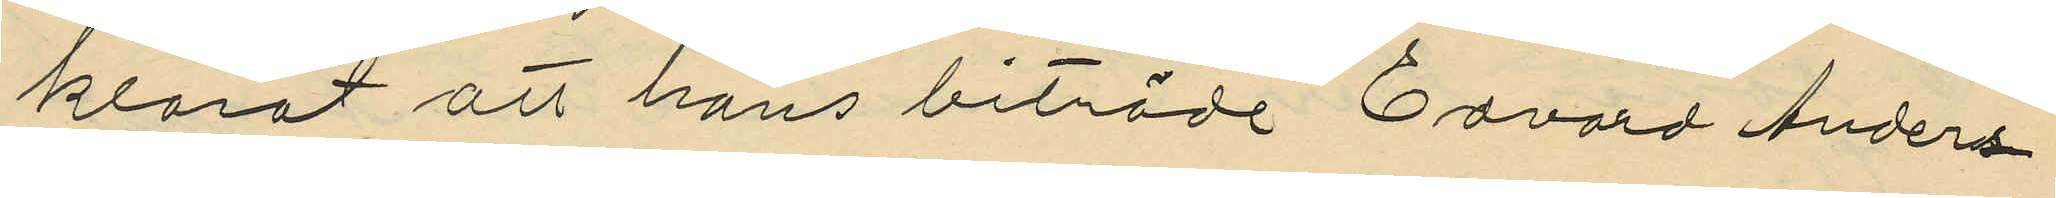klarat att hans biträde Edvard Anders¬
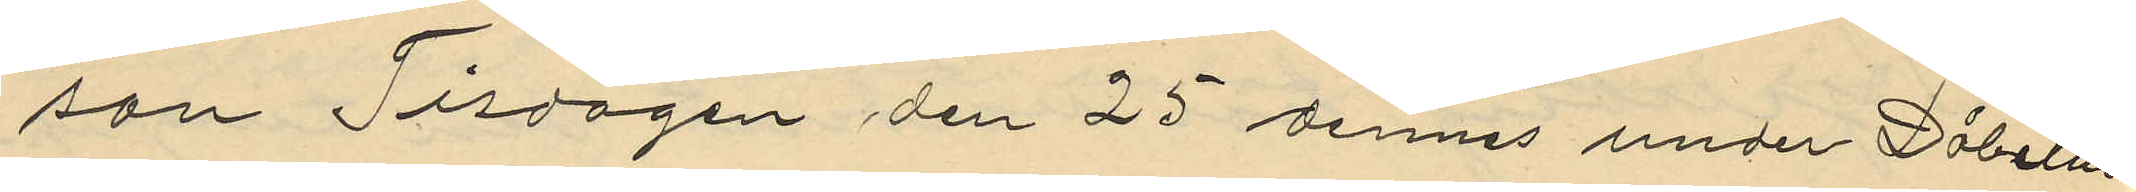son Tisdagen den 25 dennes under Döbelns
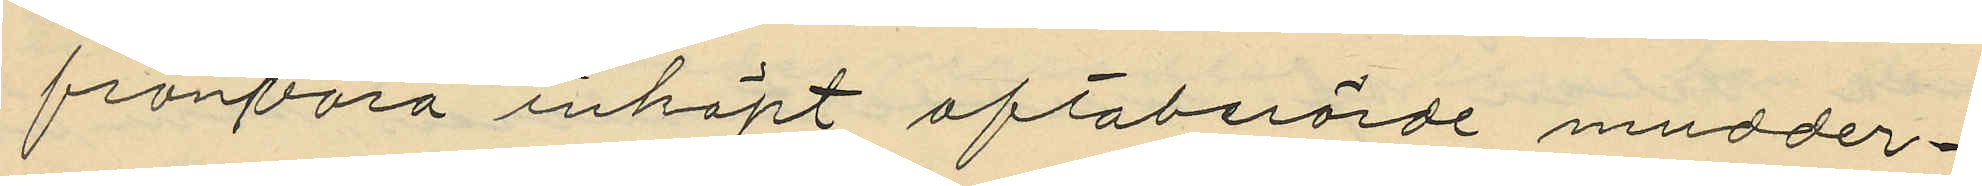frånvaro inköpt oftaberörde mudder¬
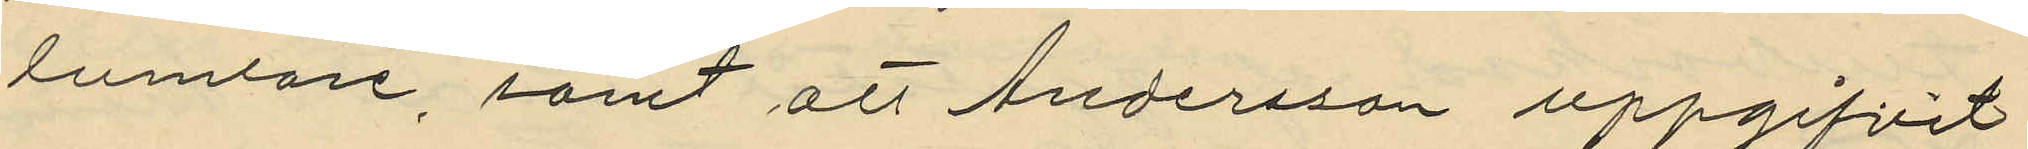tumtare, samt att Andersson uppgifvit
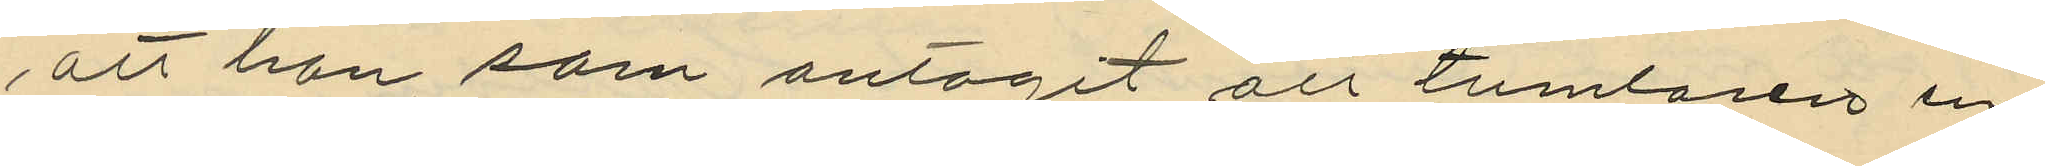att han, som antagit att tumlaren en¬
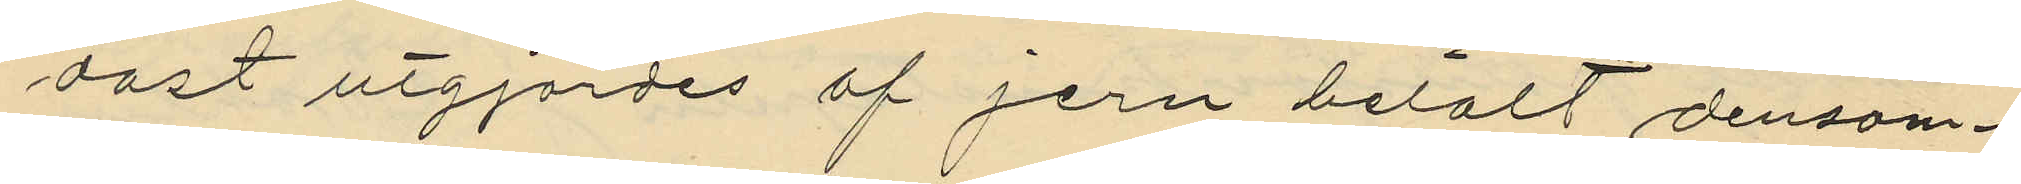dast utgjordes af jern betalt densam¬
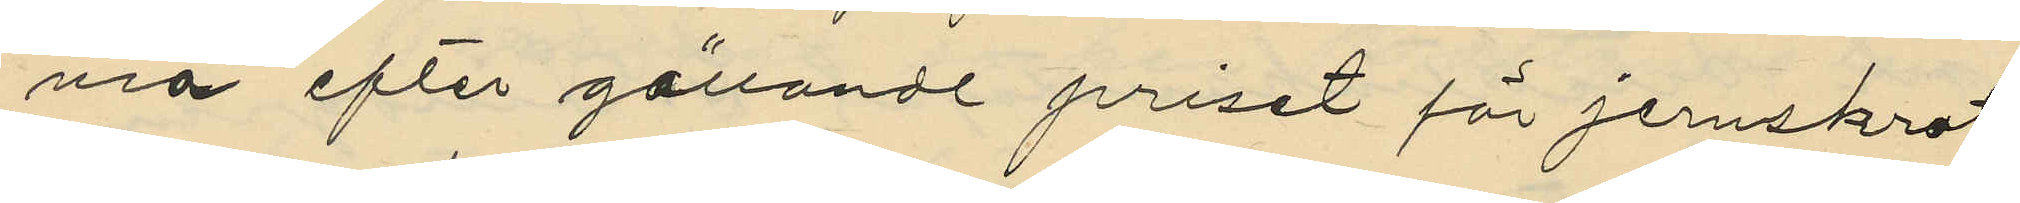nia efter gällande priset för jernskrot
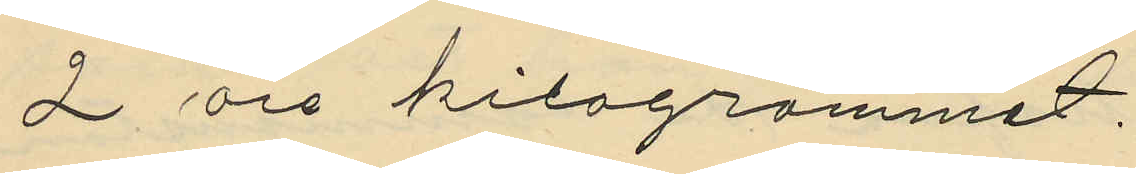2 öre kilogrammet.
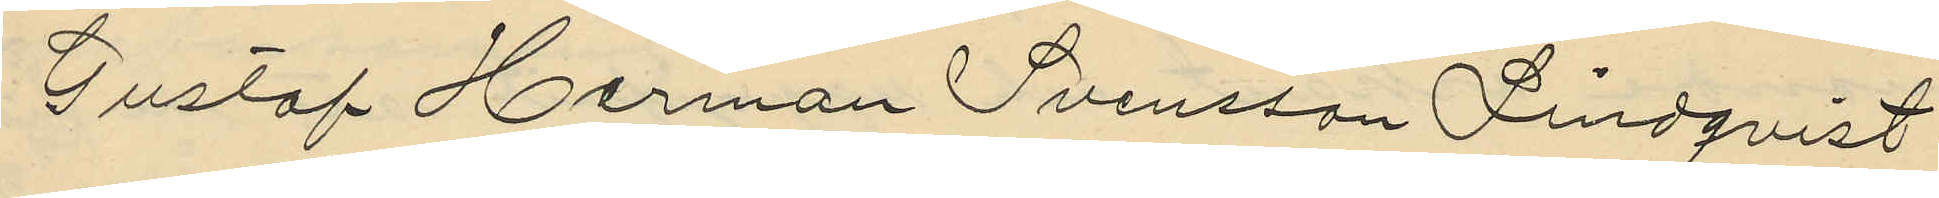Gustaf Herman Svensson Lindqvist
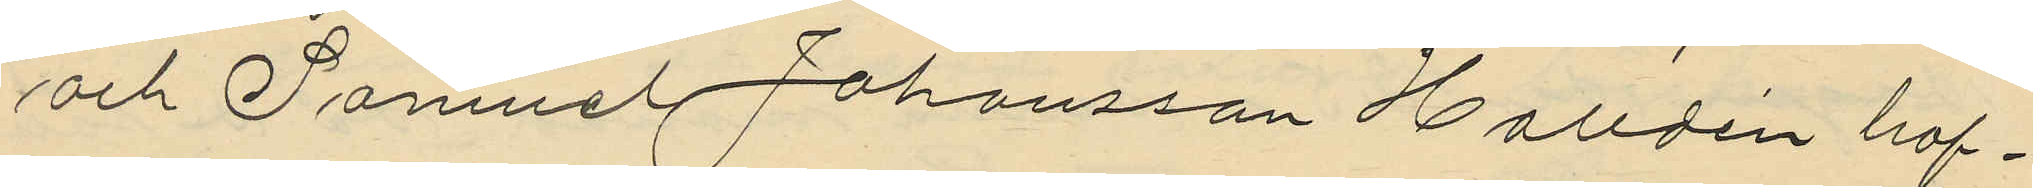och Samuel Johansson Halldén haf¬
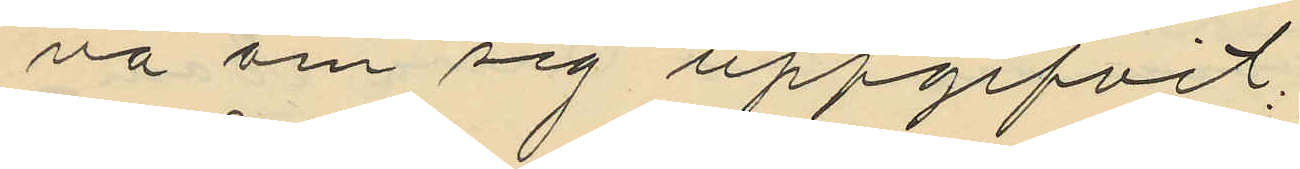va om sig uppgifvit;
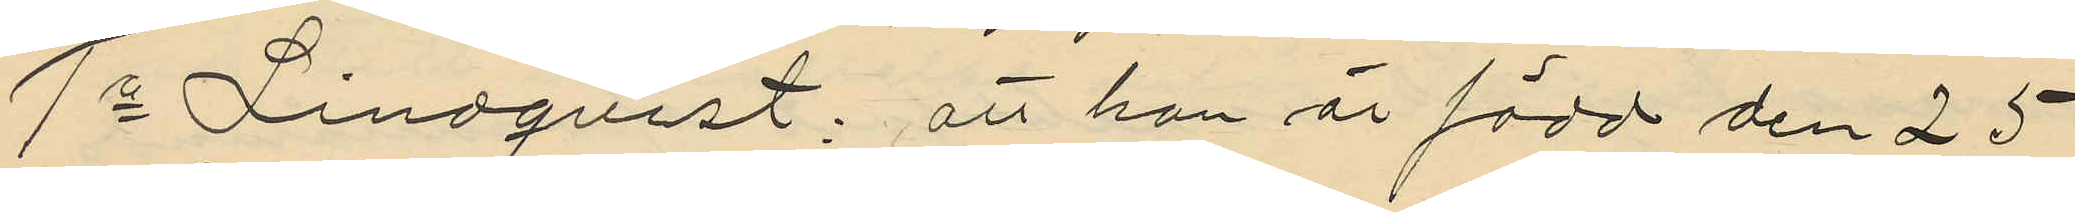1o Lindqvist: att han är född den 25
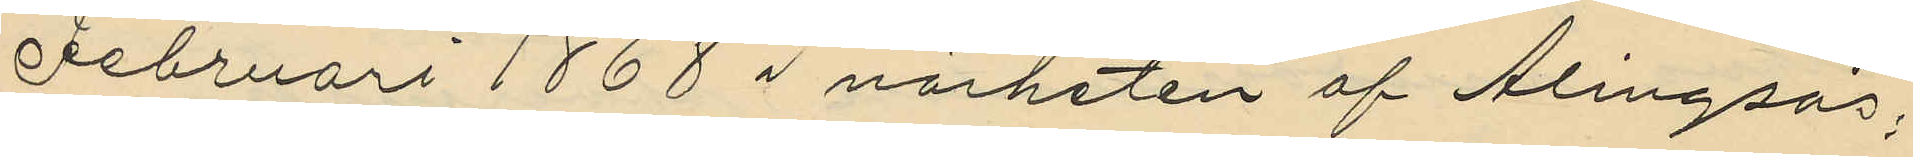Februari 1868 i närheten af Alingsås;
